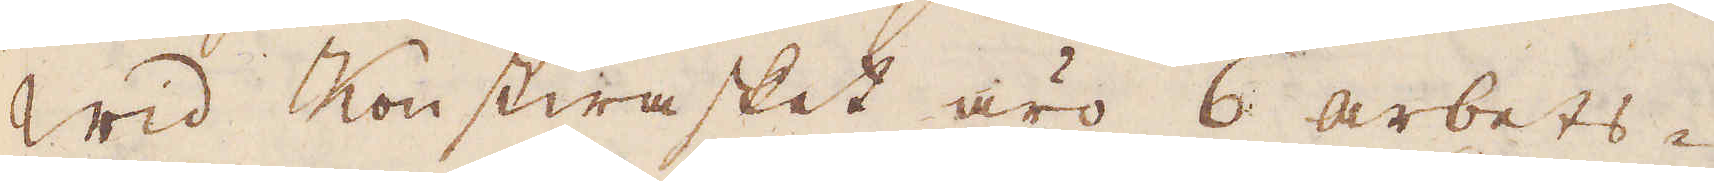Wid Konstwasket äro 6 arbets-
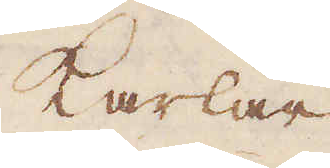karlar
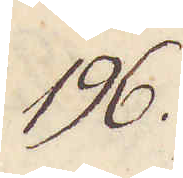196.
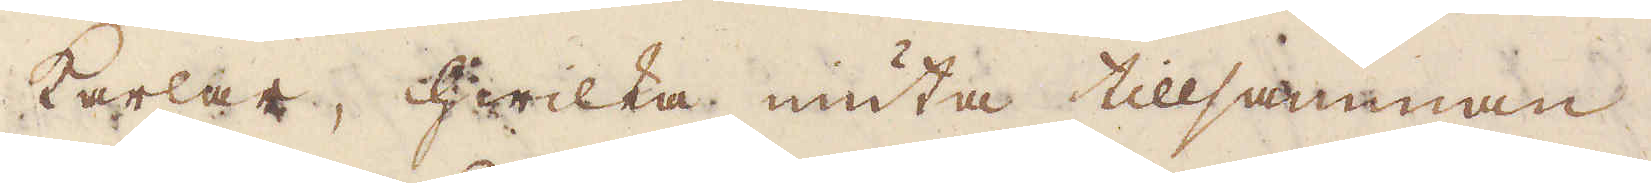karlar, hwilka niuta tillsamman
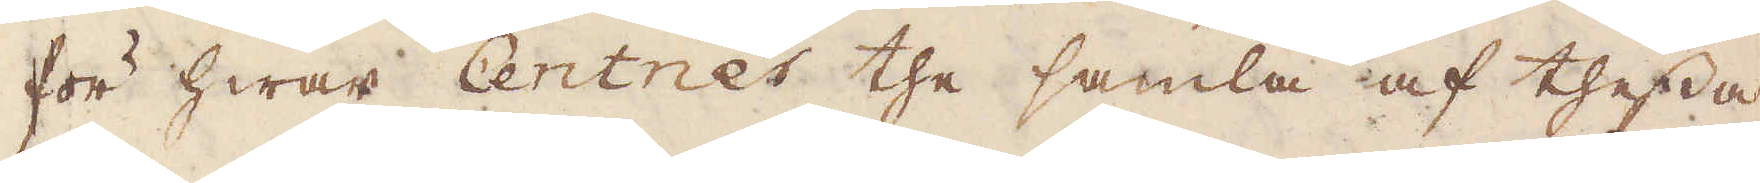för hwar Centner the samla af thessa
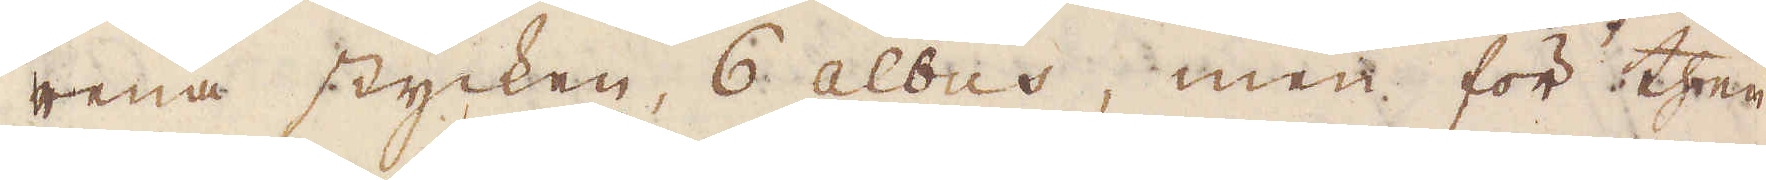rena stycken, 6 albus, men för then
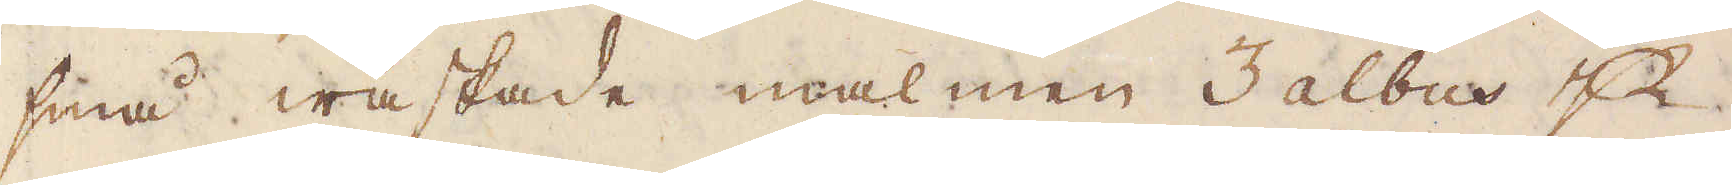små waskade malmen 3 albus p
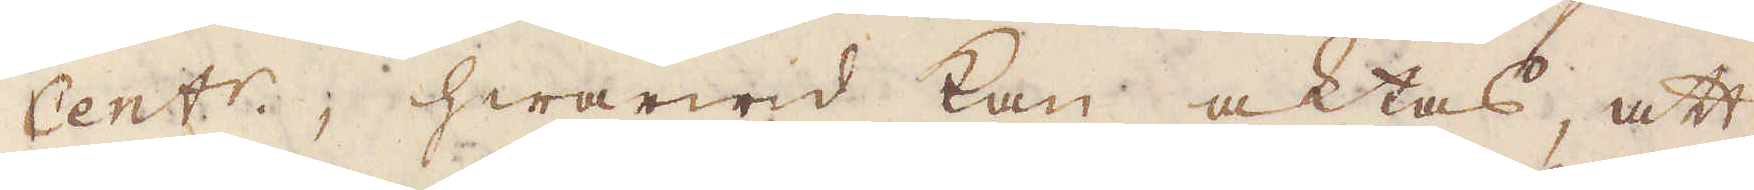Cent:r, hwarwid kan aktas, att
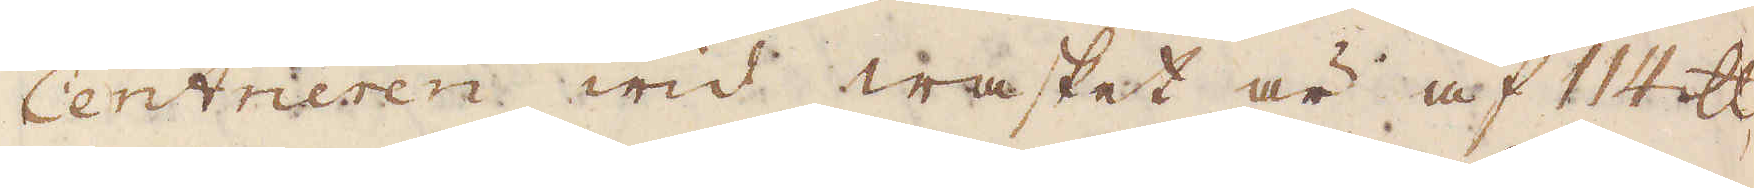Centneren wid wasket är af 114 skålpund
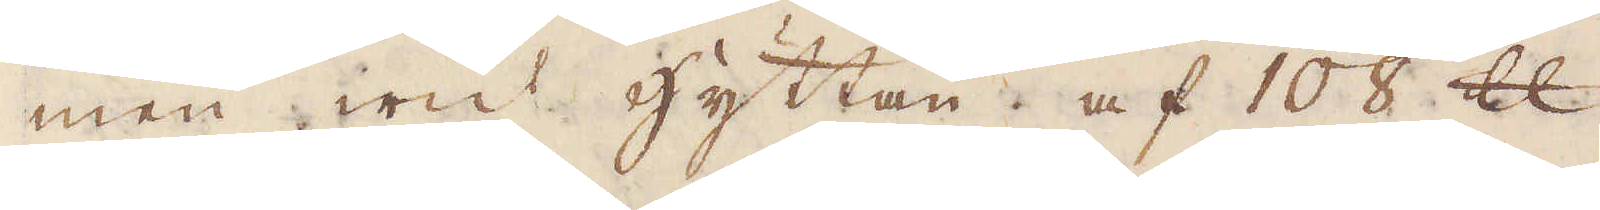men wid hyttan af 108 skålpund.
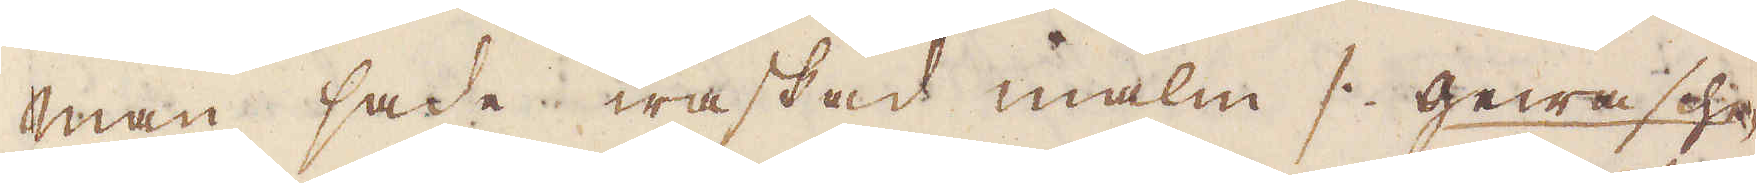Man sade waskad malm /: Gewashe-
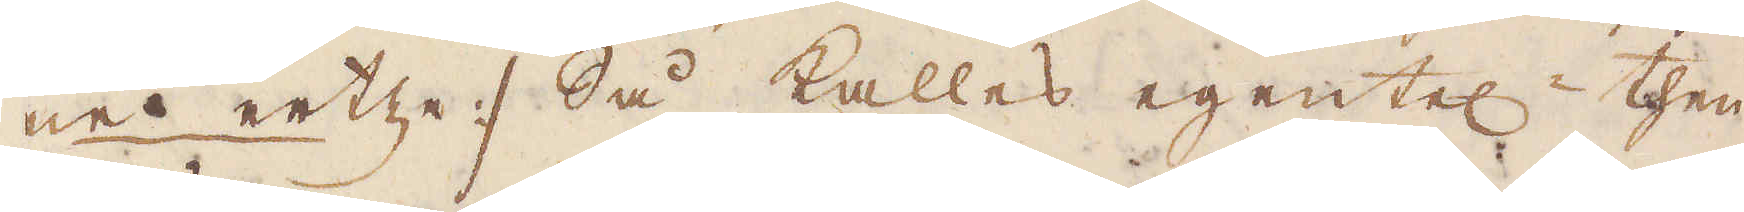ne ertze :/ Så kallas egentel then
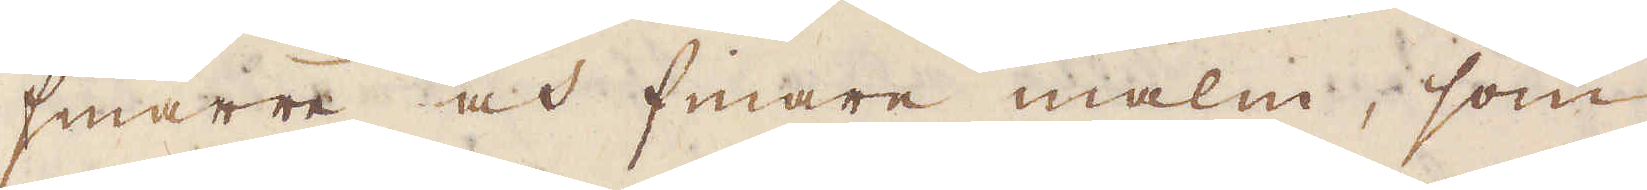smärre och finare malm, som
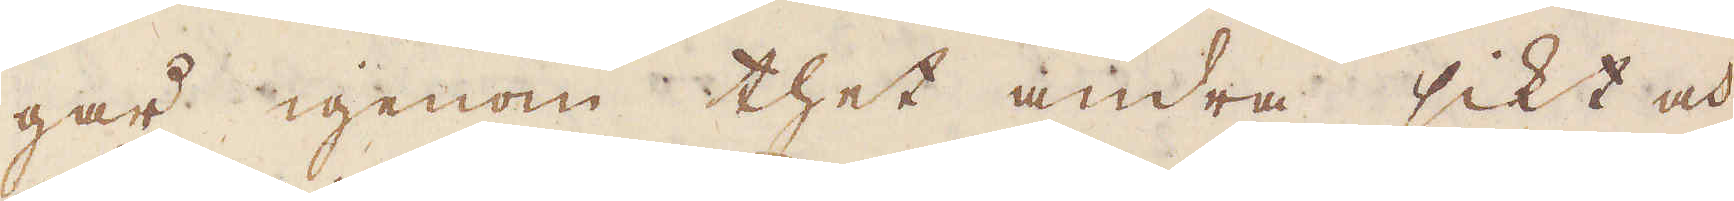går igenom thet andra sikt och
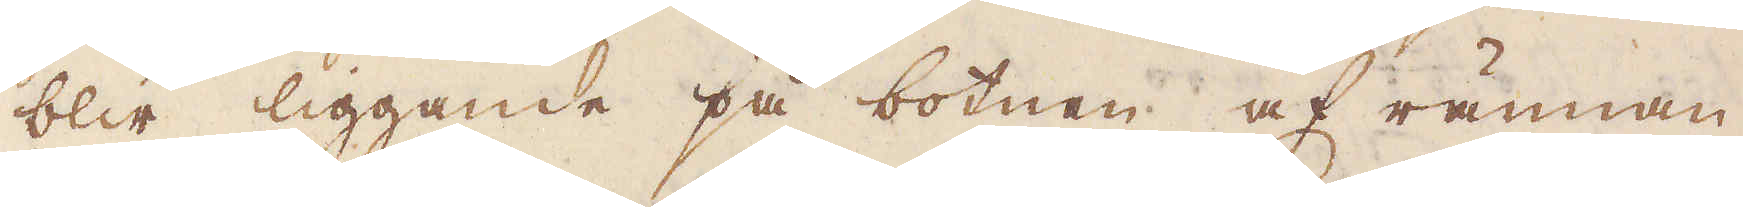blir liggande på botnen af rännan
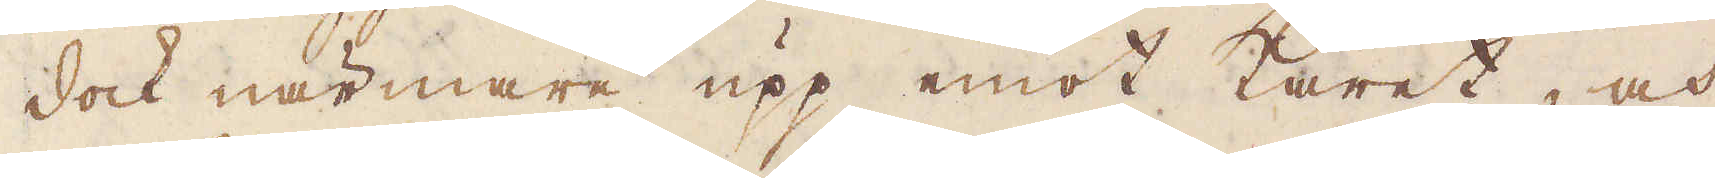dock närmare upp emot karet, och
